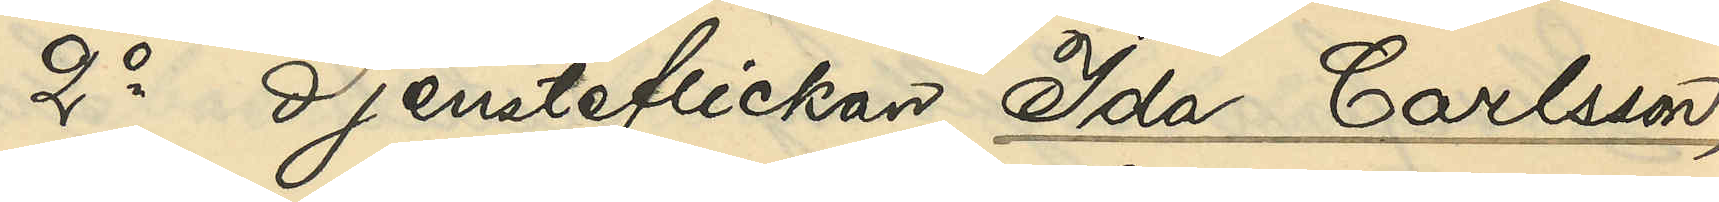2o Tjensteflickan Ida Carlsson,
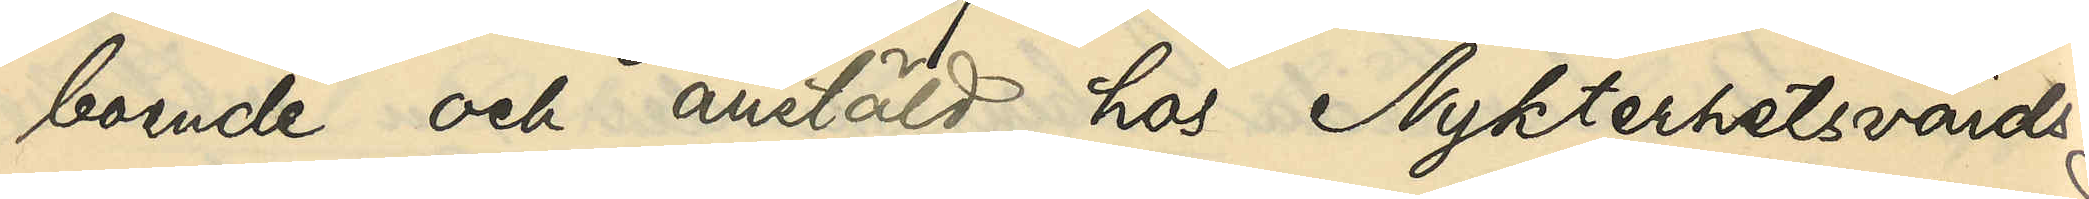boende och anstäld hos Nykterhetsvärds¬
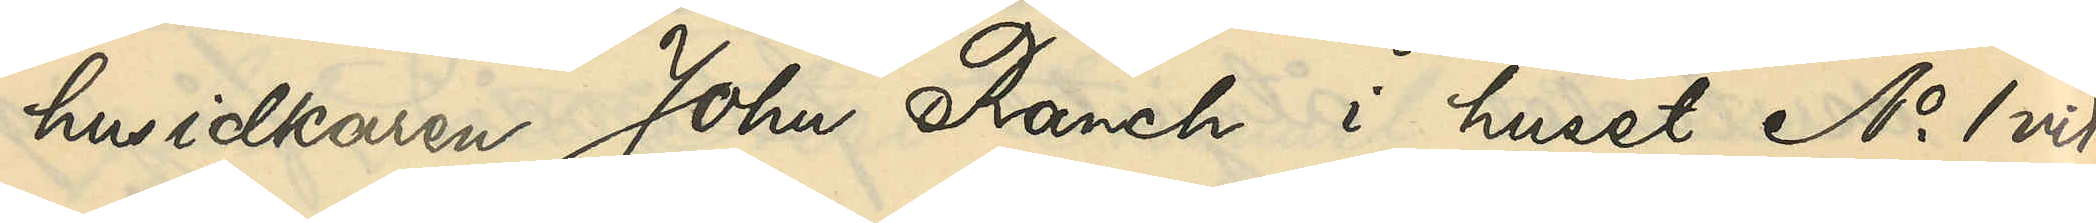husidkaren John Ranch i huset No 1 vid
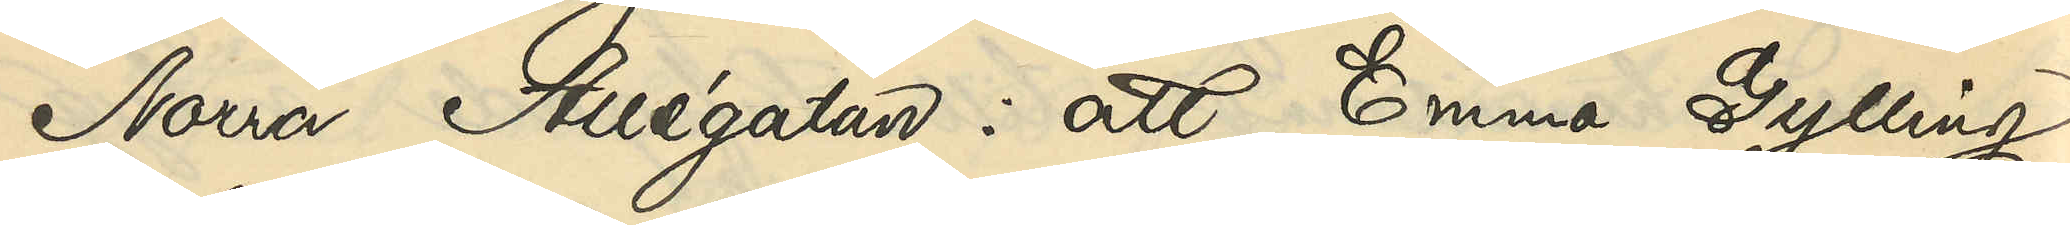Norra Allégatan: att Emma Gylling
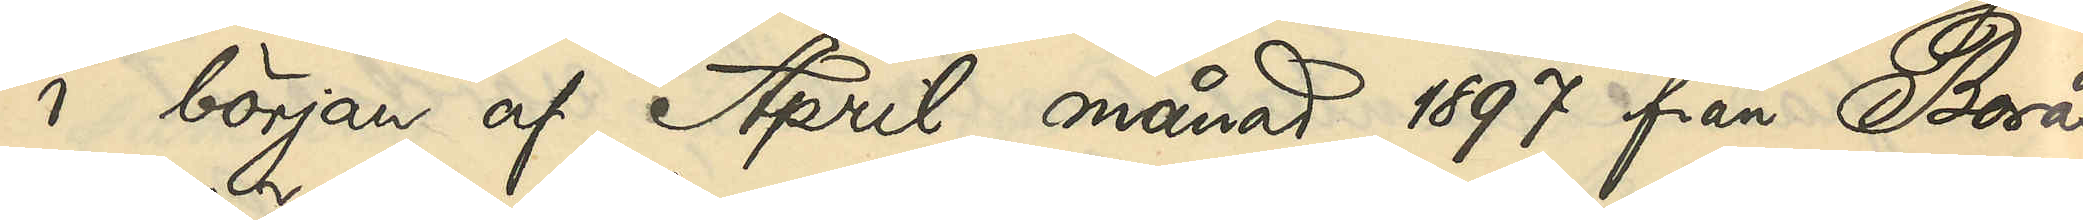i början af April månad 1897 från Borås
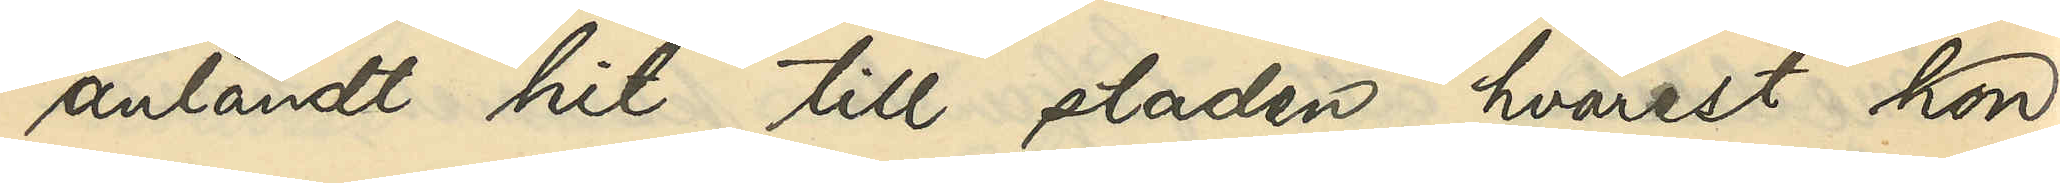anländt hit till staden, hvarest hon
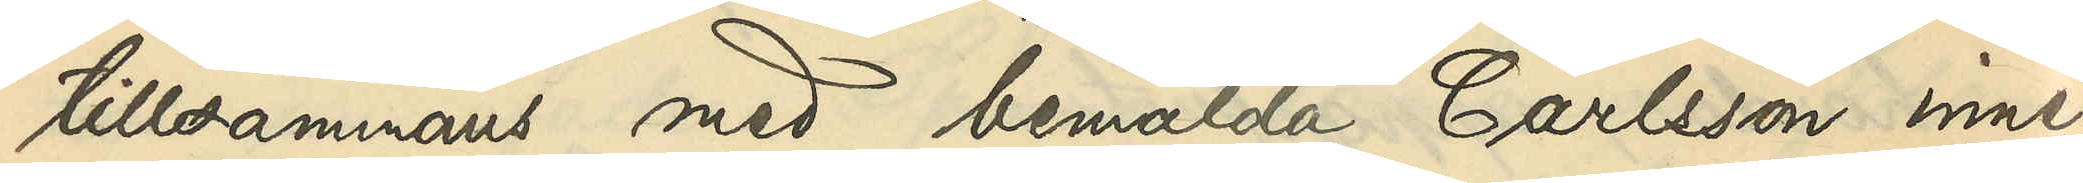tillsammans med bemälda Carlsson inne¬
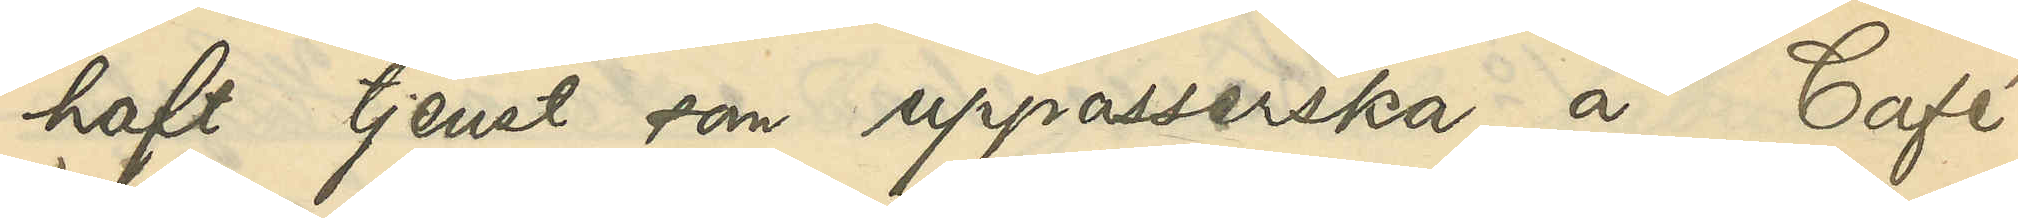haft tjenst som uppasserska å Café
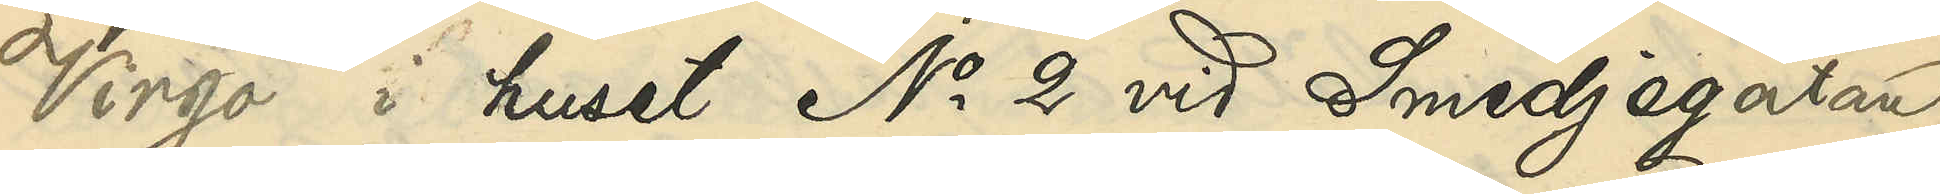Virgo i huset No 2 vid Smedjegatan
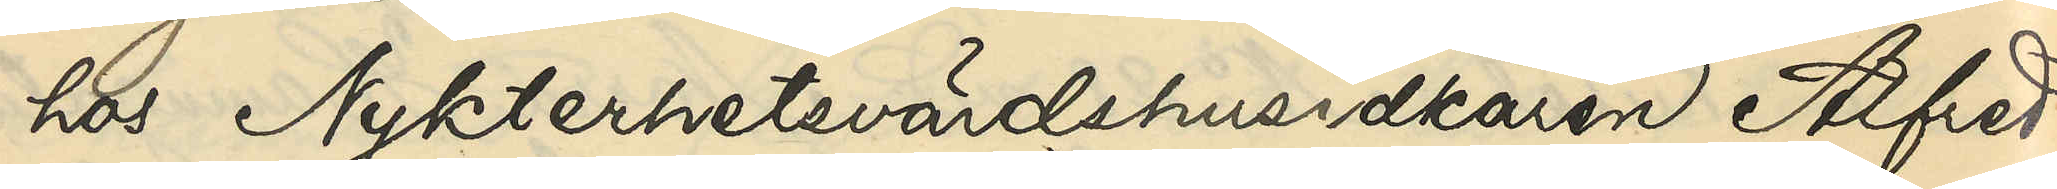hos Nykterhetsvärdshusidkaren Alfred
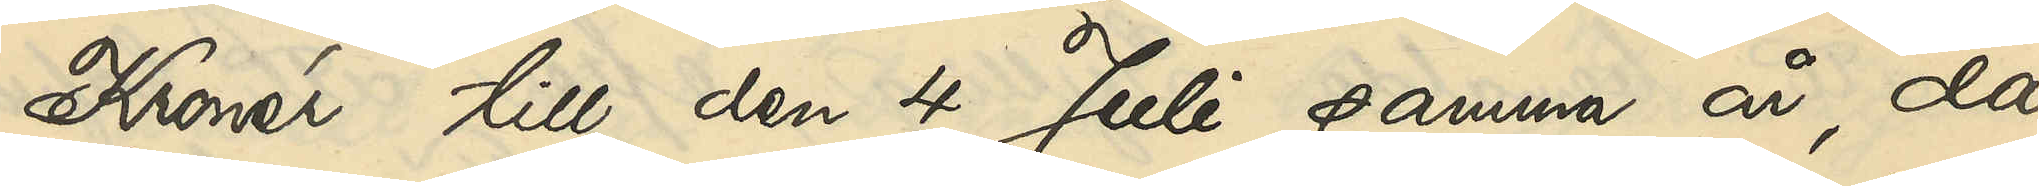Kronér till den 4 Juli samma år, då
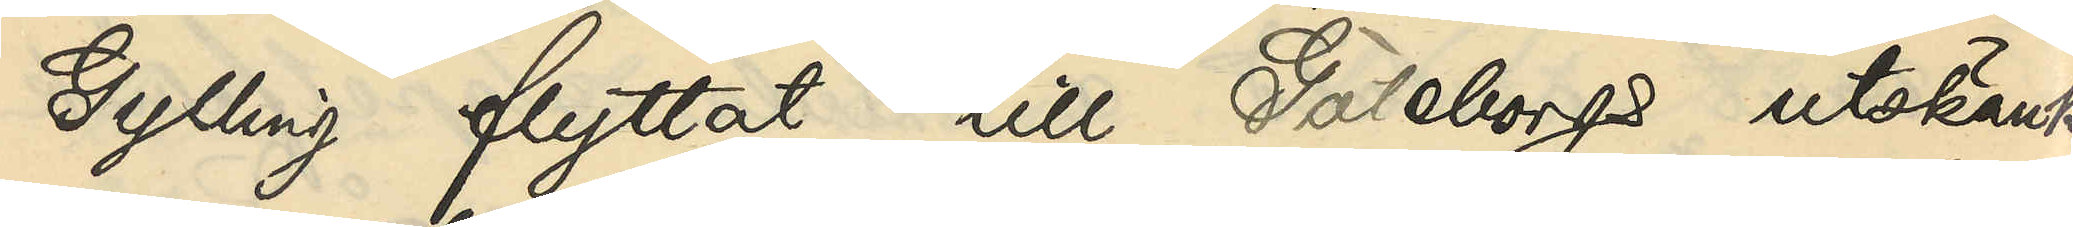Gylling flyttat till Göteborgs utskänk¬
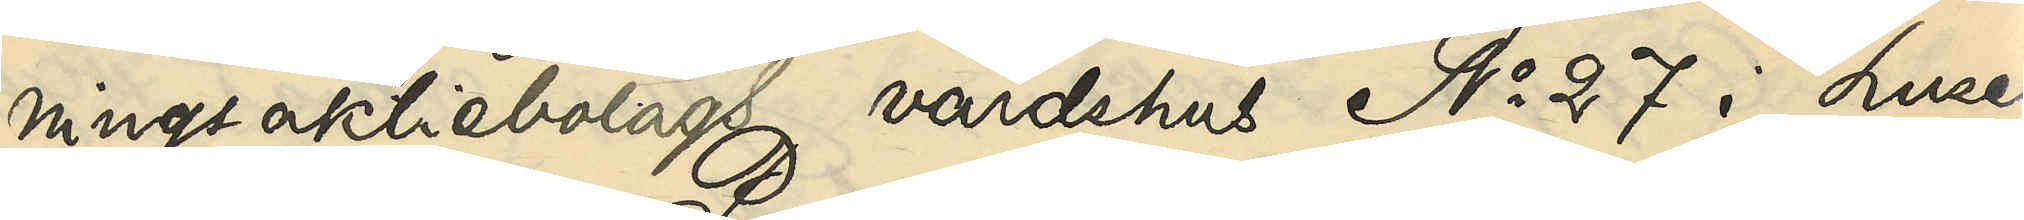ningsaktiebolags värdshus No 27 i huset
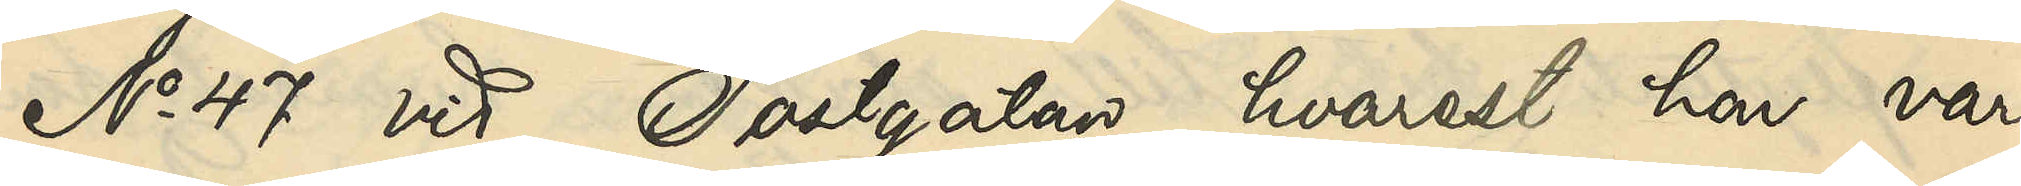No 47 vid Postgatan, hvarest hon var
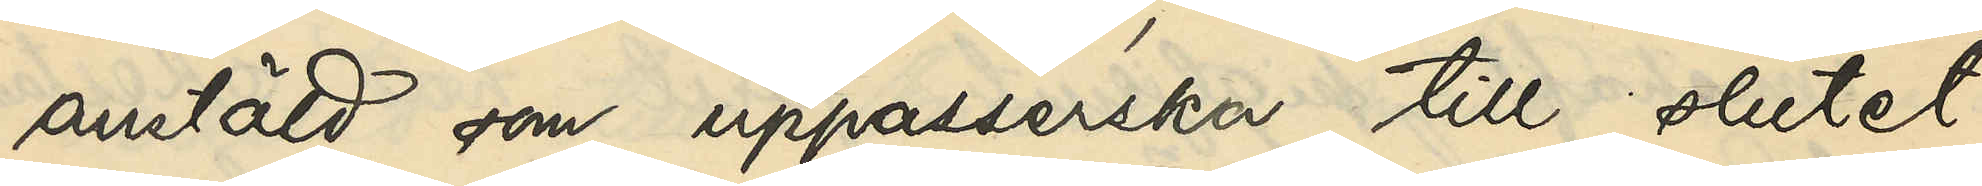anstäld som uppasserska till slutet
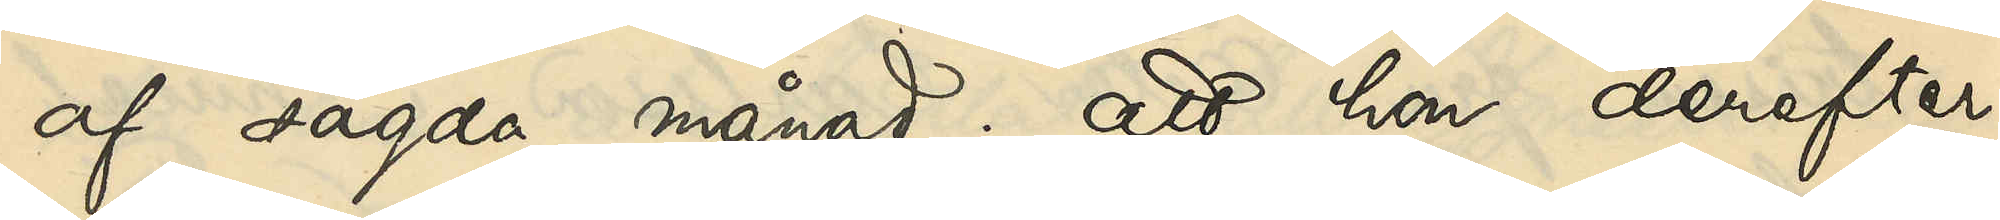af sagda månad; att hon derefter
